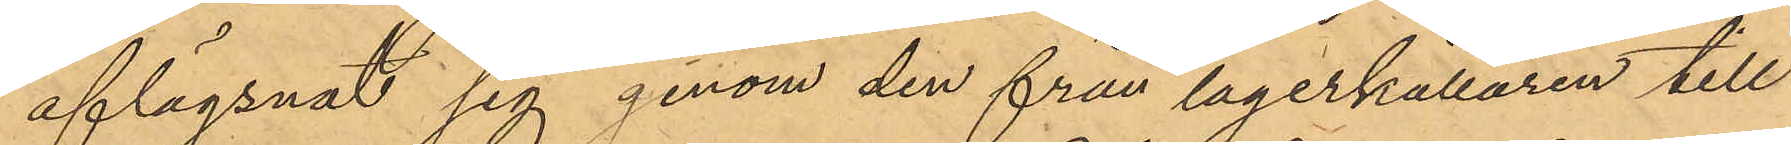aflägsnat sig genom den från lagerkällaren till
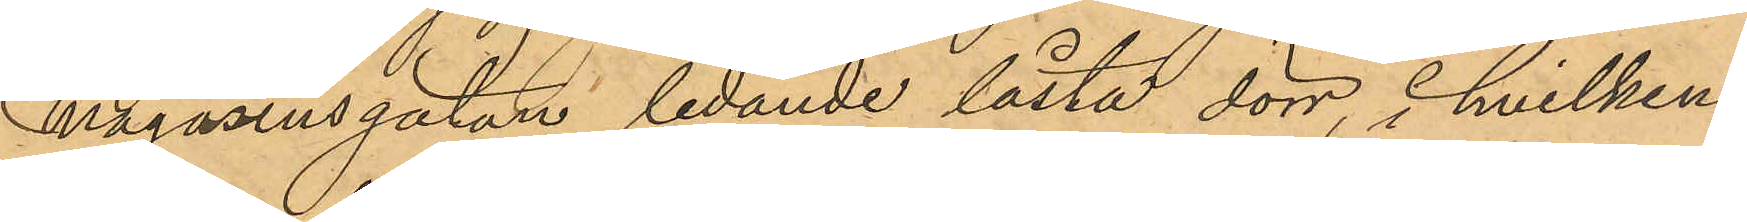Magasinsgatan ledande låsta dörr, i hvilkens
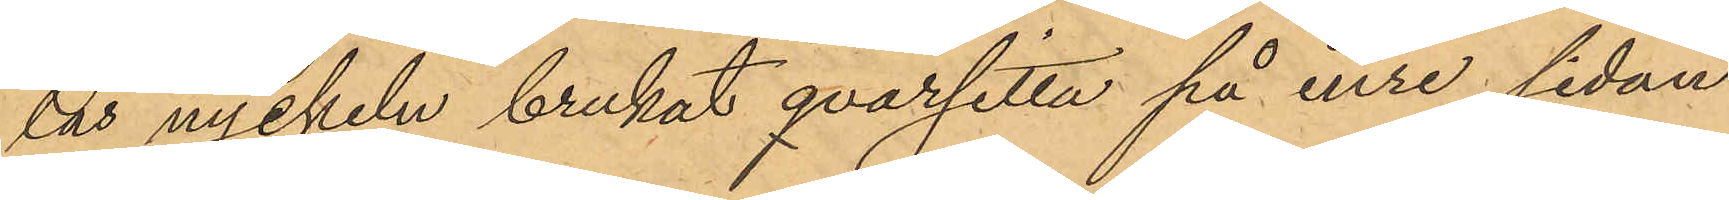lås nyckeln brukat qvarsitta på inre sidan
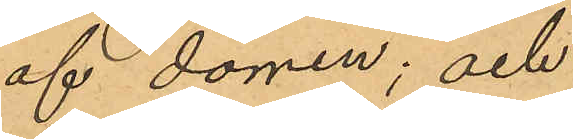af dörren; och
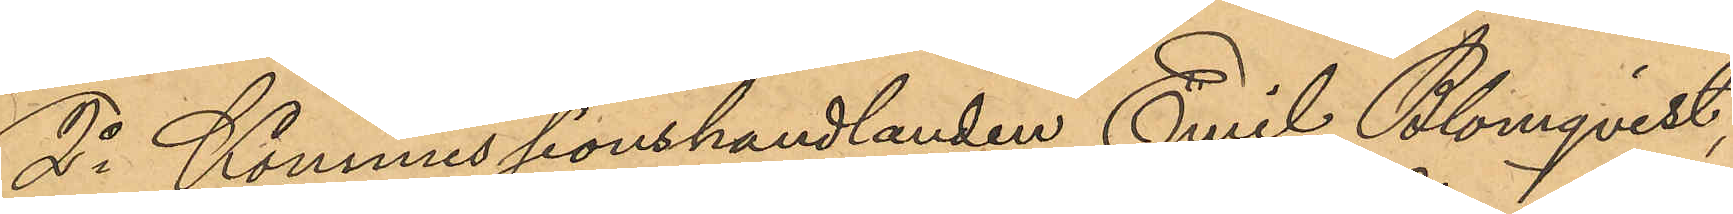2o Kommissionshandlanden Emil Blomqvist,
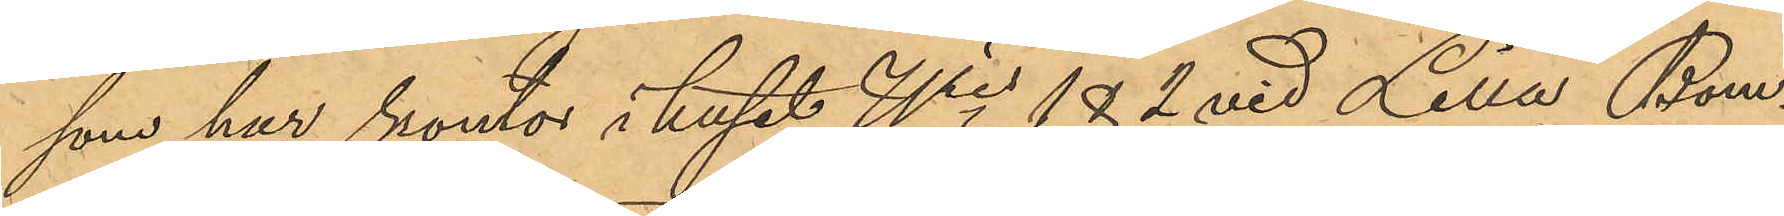som har kontor i huset No 182 vid Lilla Bom¬
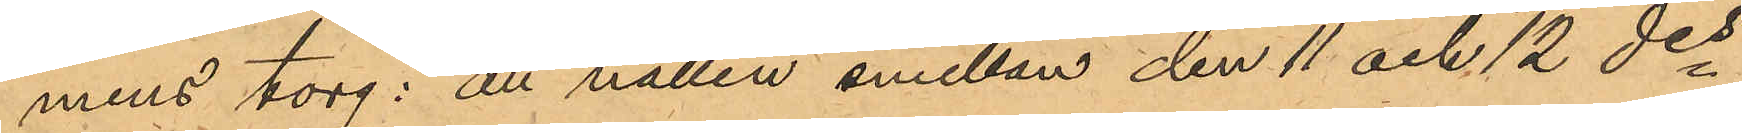mens torg: att natten emellan den 11 och 12 des
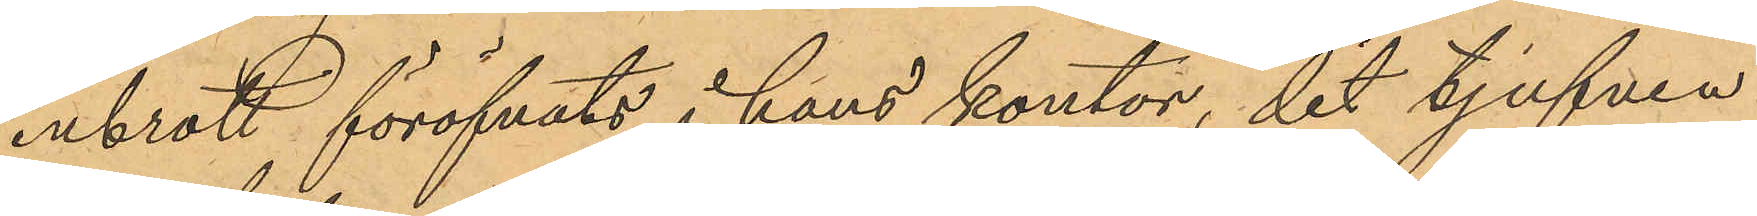inbrott föröfvats i hans kontor, dit tjufven
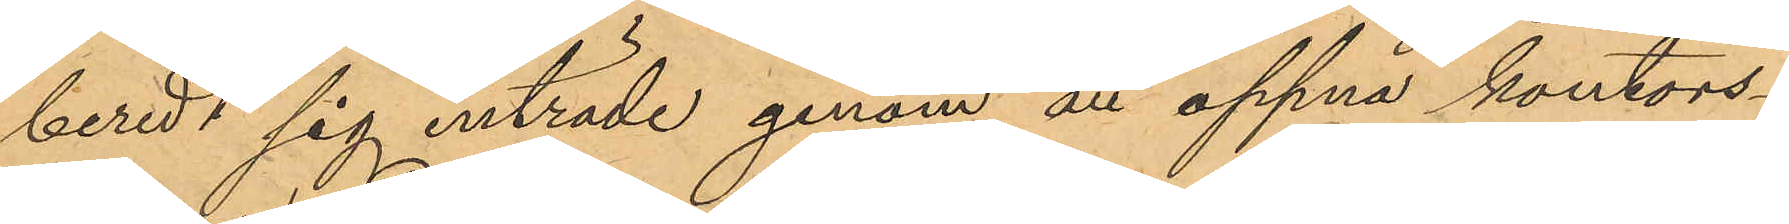beredt sig inträde genom att öppna kontors¬
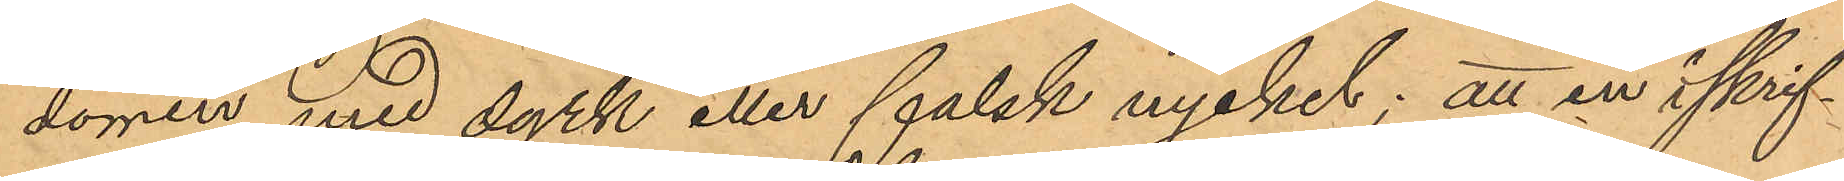dörren med dyrk eller falsk nyckel; att en i skrif¬
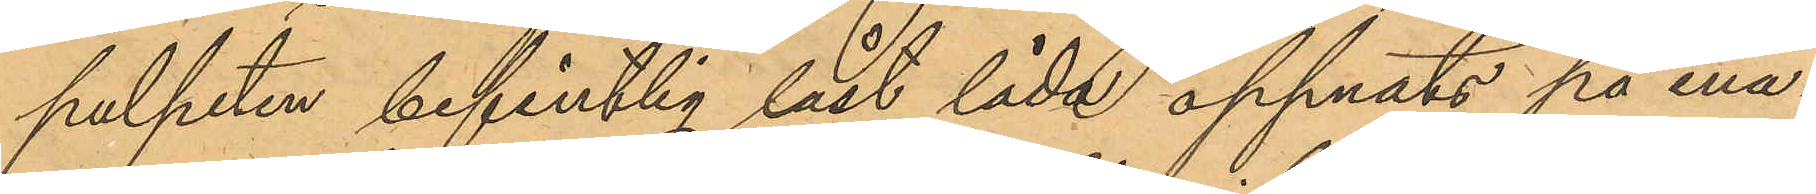pulpeten befintlig låst låda öppnats på ena¬
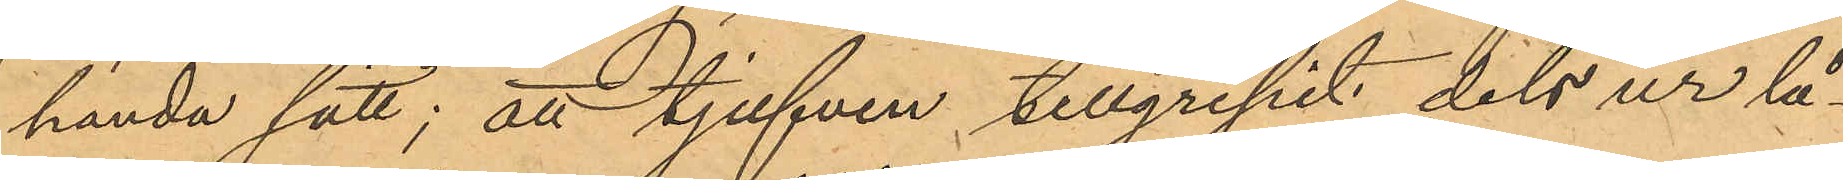handa sätt; att tjufven tillgripit dels ur lå¬
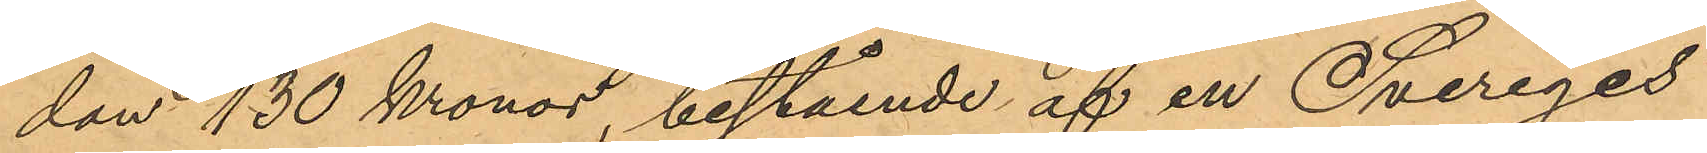dan 130 Kronor, bestående af en Sveriges
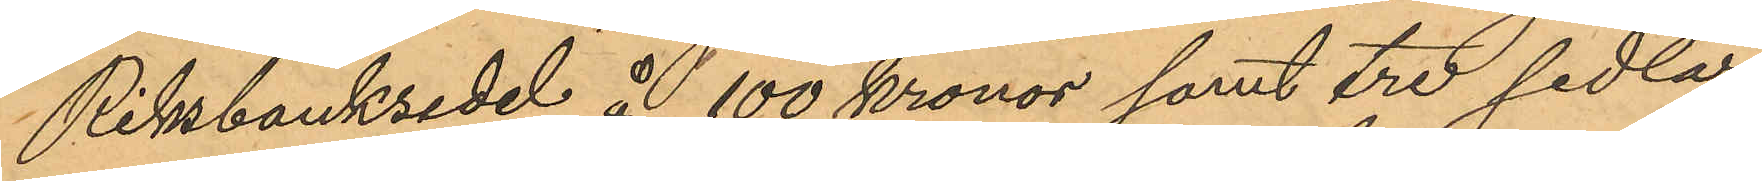Riksbanksedel å 100 kronor samt tre sedlar
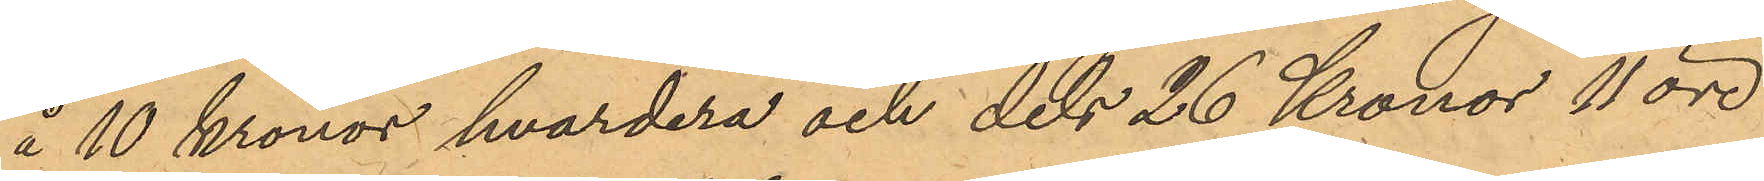å 10 kronor hvardera och dels 26 Kronor 11 öre
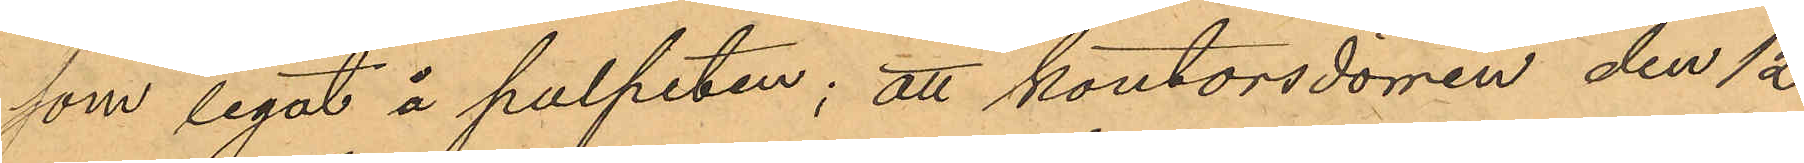som legat å pulpeten; att kontorsdörren den 12
